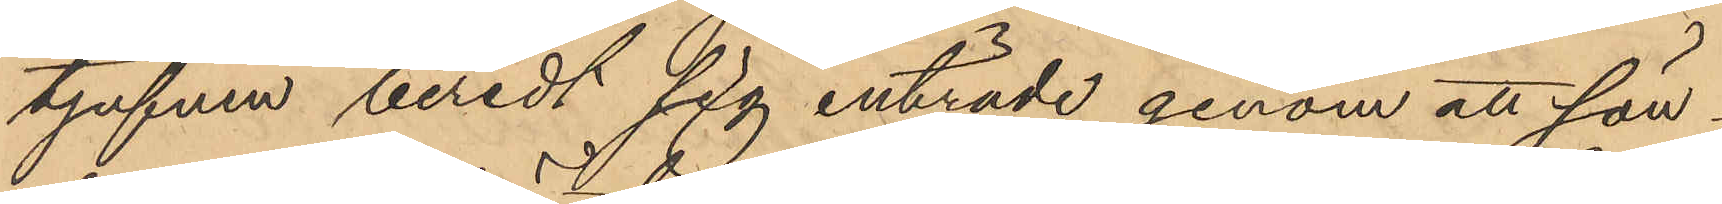tjufven beredt sig inträde genom att sön¬
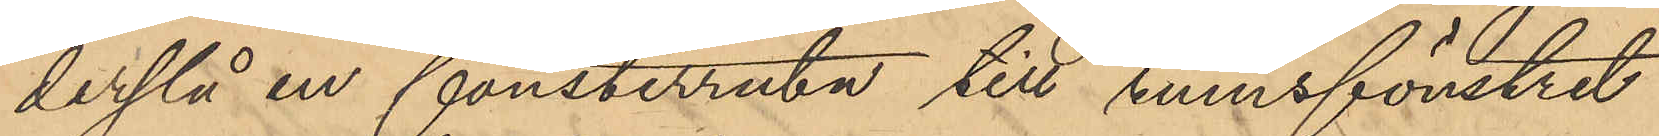derslå en fönsterruta till rumsfönstret
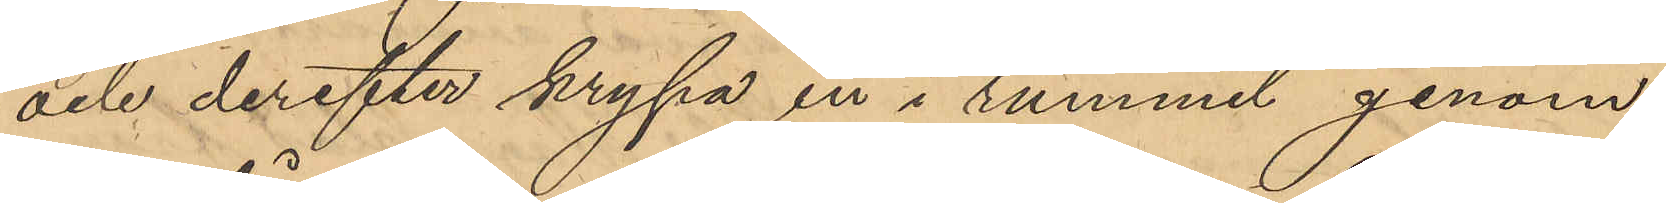och derefter krypa in i rummel genom
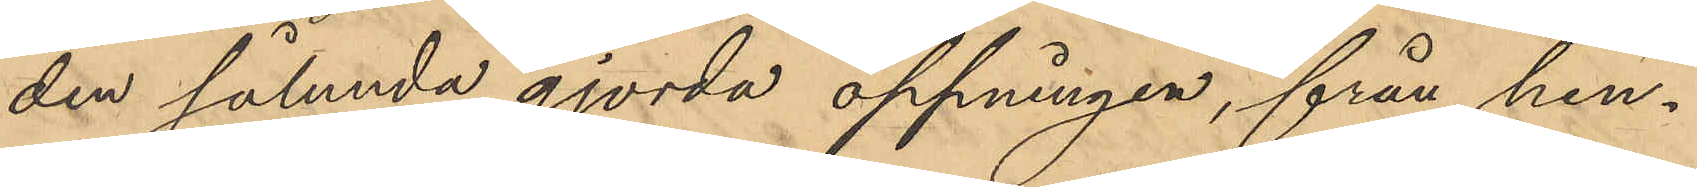den sålunda gjorda öppningen, från hen¬
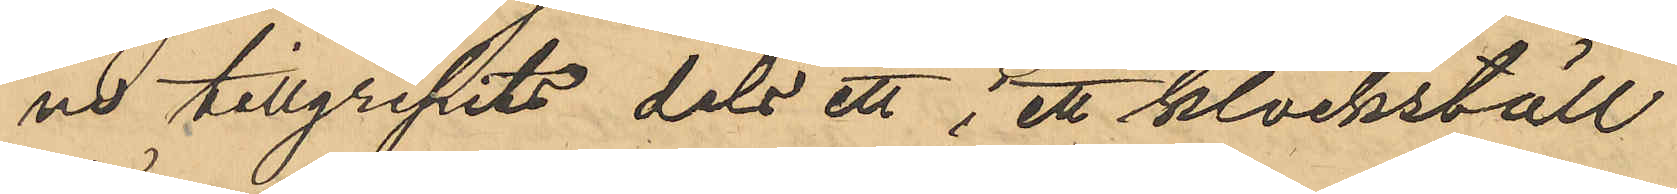ne tillgripits dels ett i ett klockställ
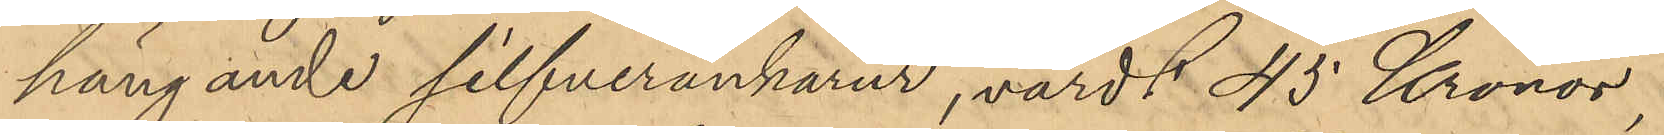hängande silfverankarur, värdt 45 Kronor,
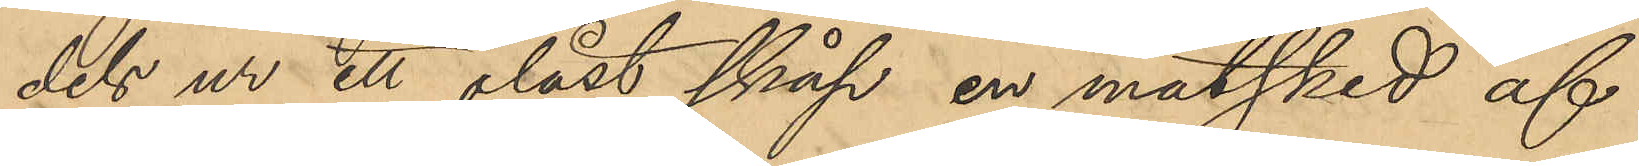dels ur ett olåst skåp en matsked af
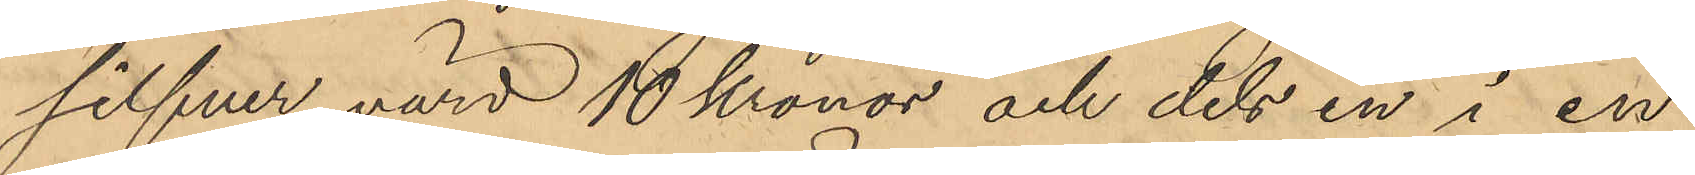silfver värd 10 Kronor och dels en i en
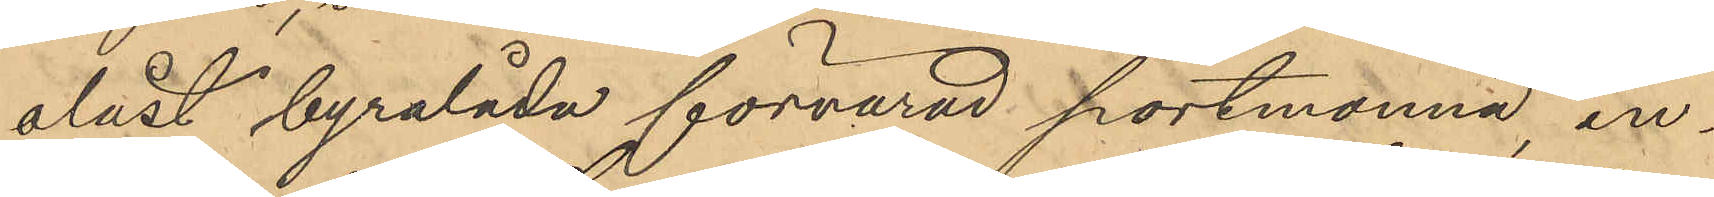olåst byrålåda förvarad portmonnä, in¬
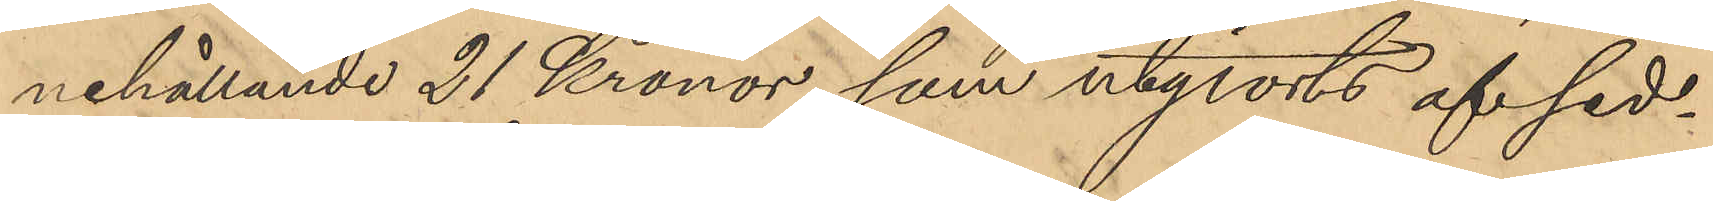nehållande 21 Kronor, som utgjorts af sed¬
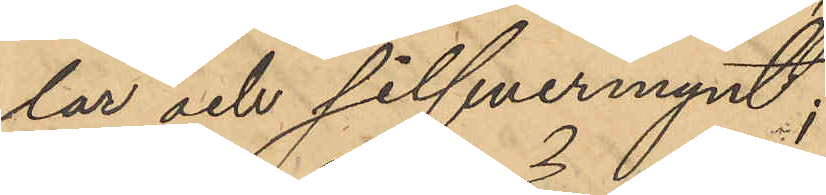lar och silfvermynt;
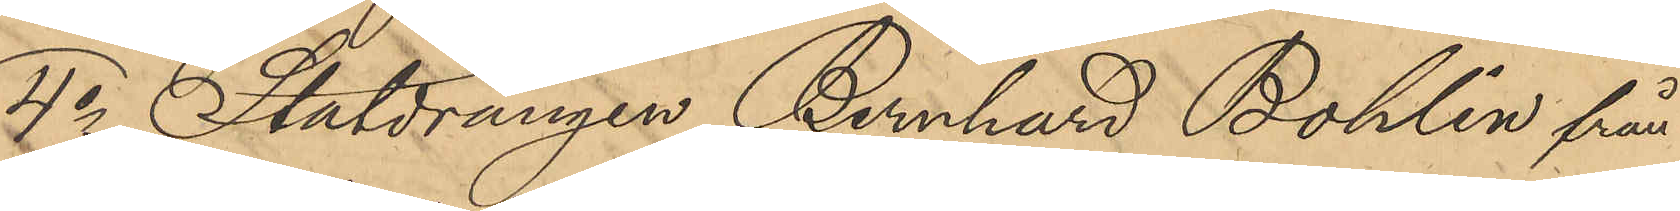4o Staldrängen Bernhard Bohlin från
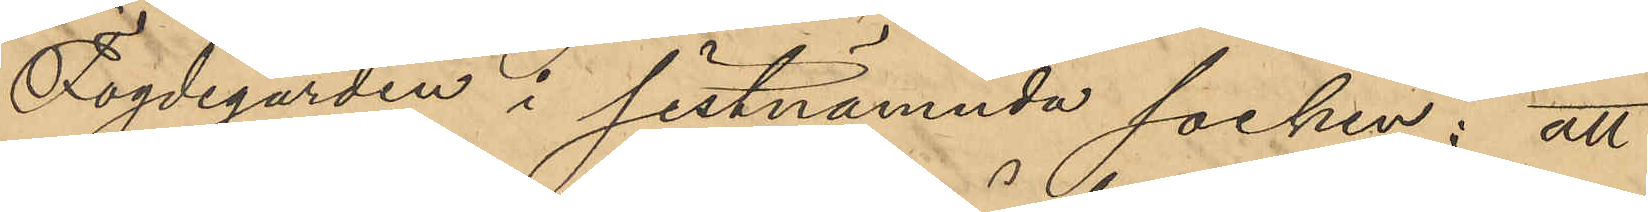Fogdegården i sistnämnda socken; att
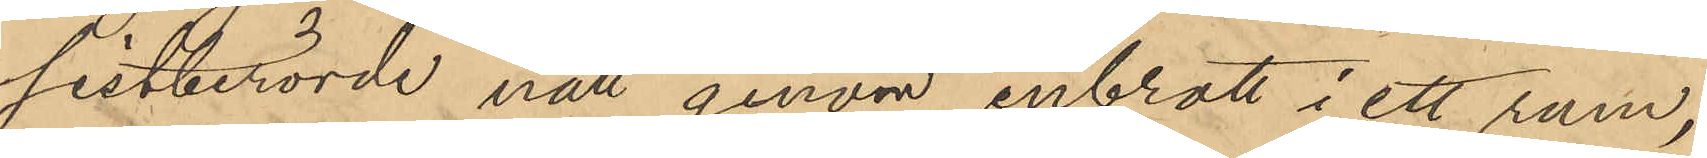sistberörde natt genom inbrott i ett rum,
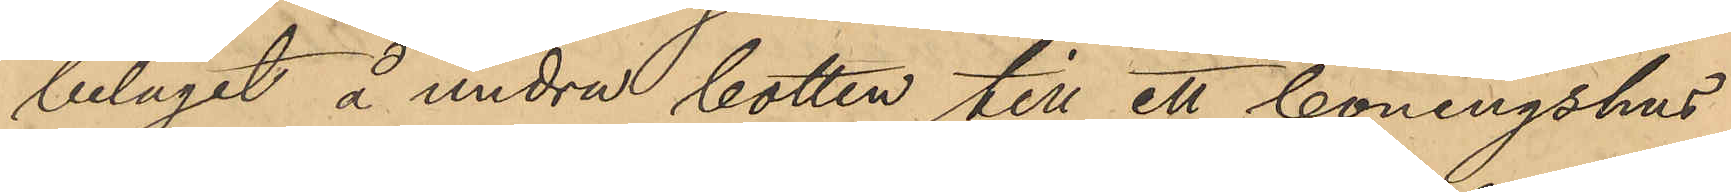beläget å undra botten till ett boningshus
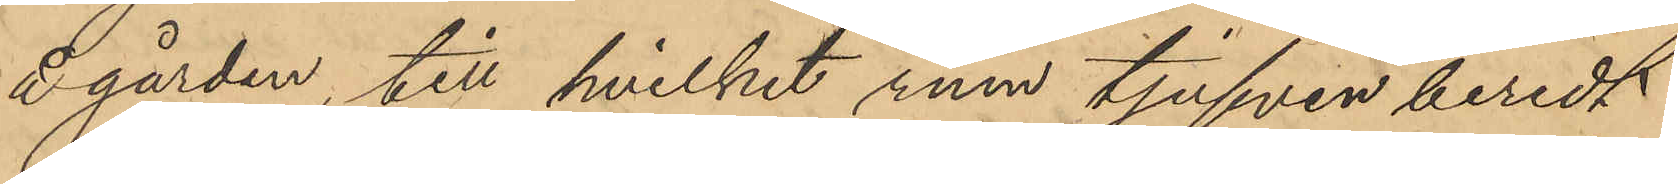å gården, till hvilket rum tjufven beredt
